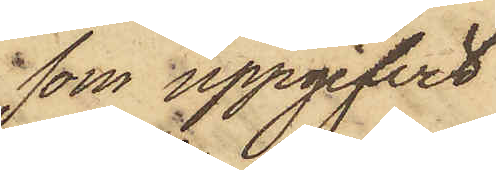som uppgifvit
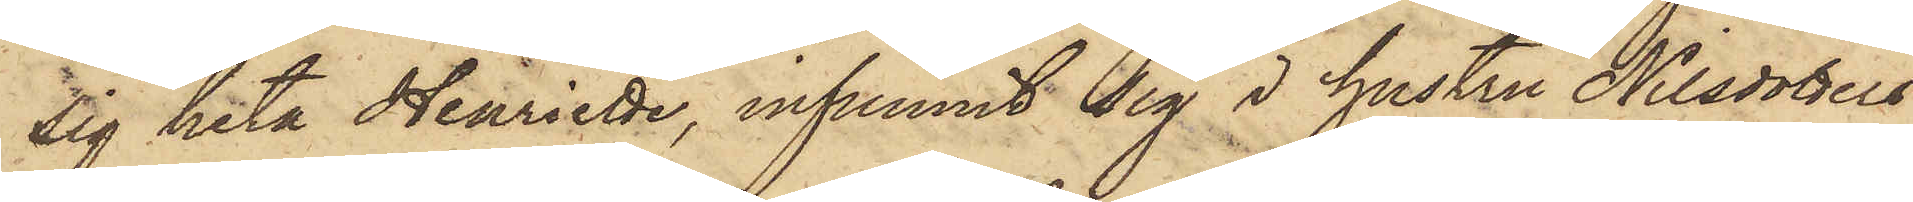sig heta Henriette, infunnit sig i hustru Nilsdotters
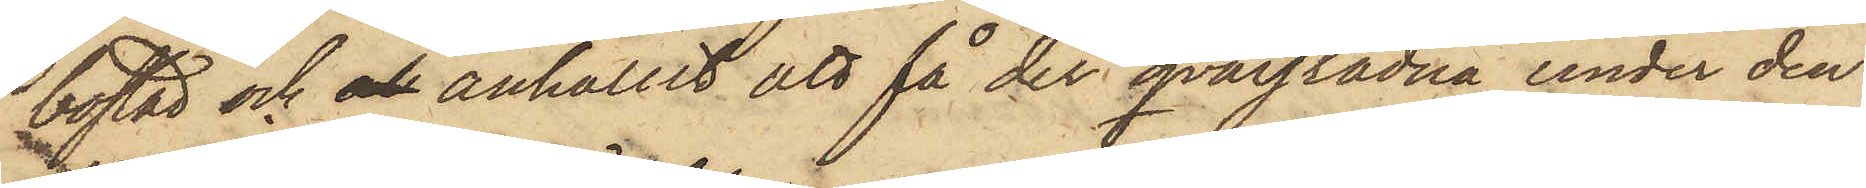bostad och och anhållit att få der qvarstadna under den
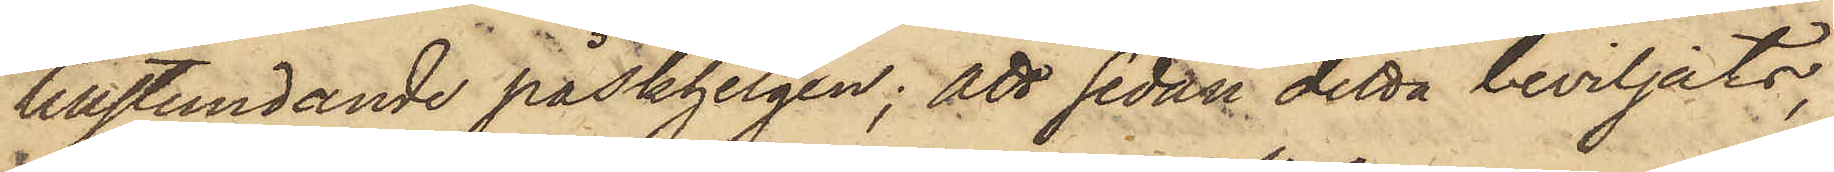tillstundande påskhelgen; att sedan detta beviljats,
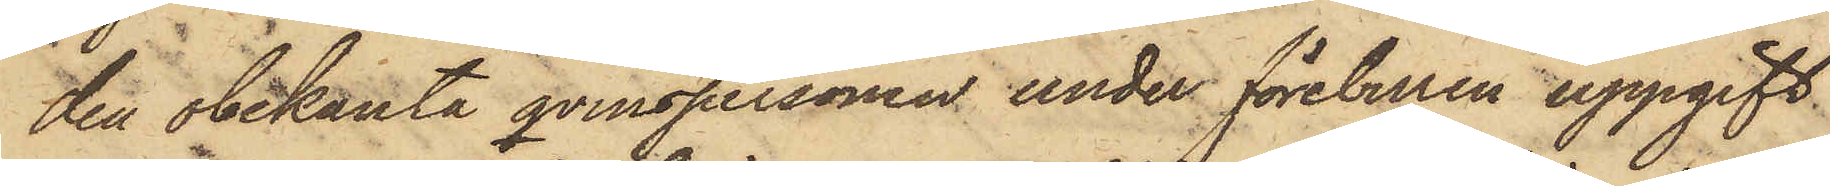den obekanta qvinspersonen under föreburen uppgift
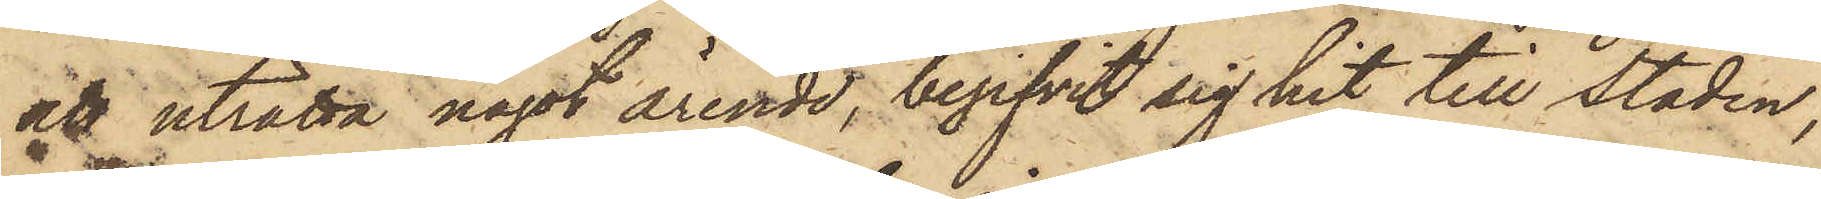att uträtta något ärende, begifvit sig hit till staden,
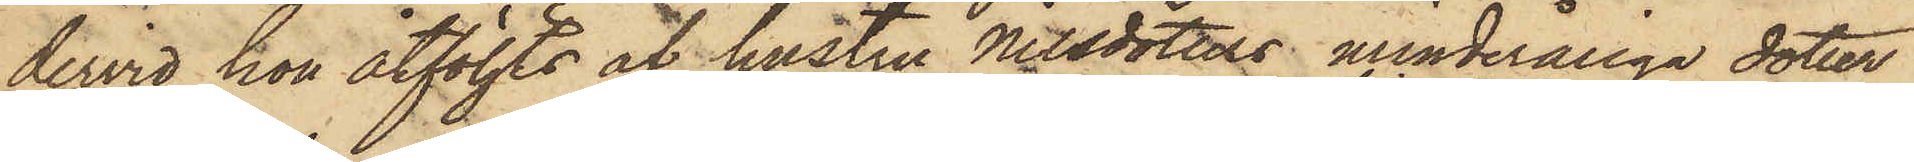dervid hon åtföljts åf hustru Nilsdotters minderåriga dotter
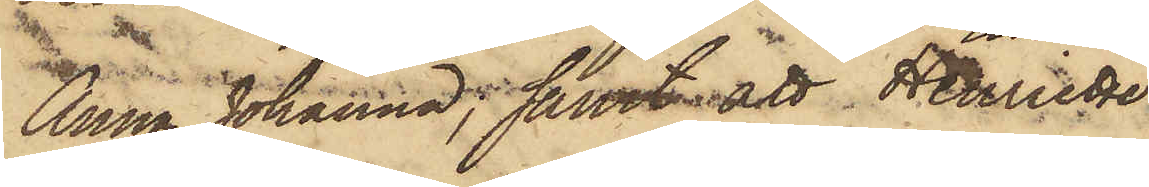Anna Johanna, samt att Henriette
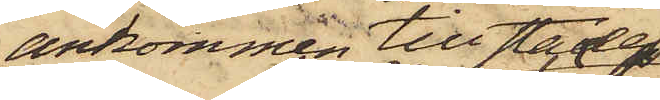ankommen till staden
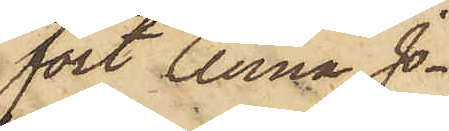fört Anna Jo¬
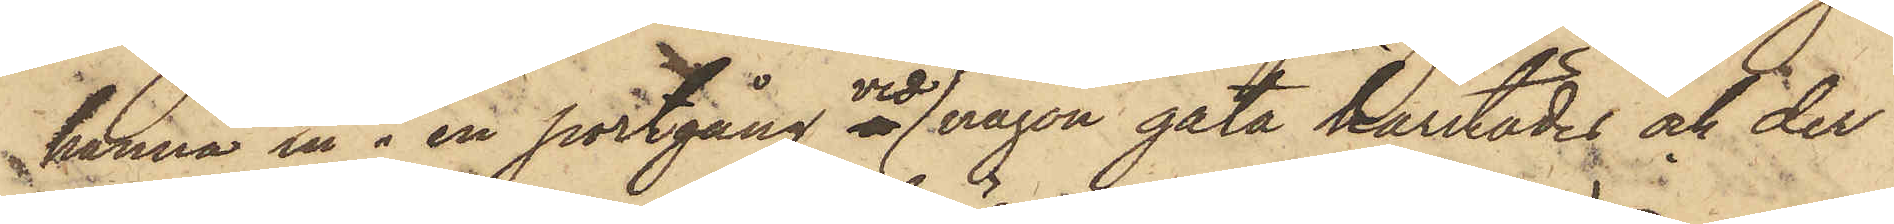hanna in i en portgång vid någon gata härstädes och der
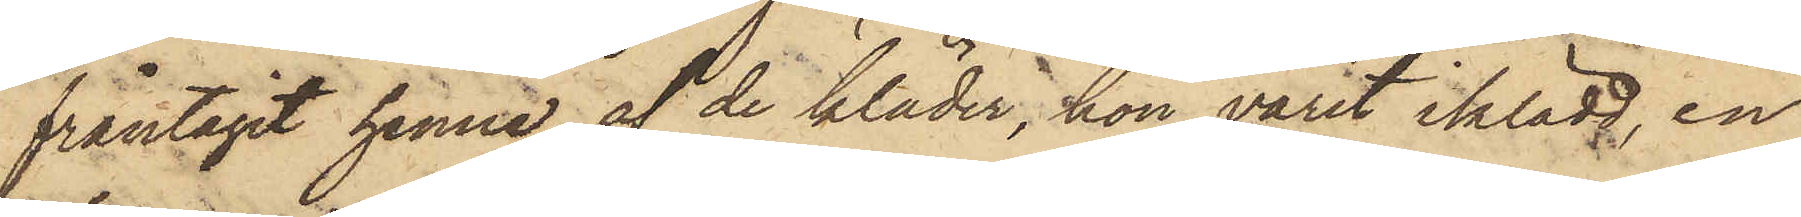fråntagit henne af de kläder, hon varit iklädd en
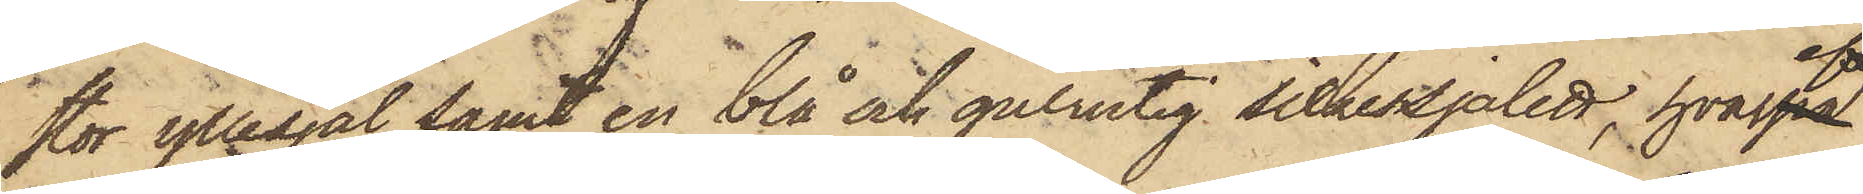stor yllesjal samt en blå och gulrutig silkessjalett, hvarefter
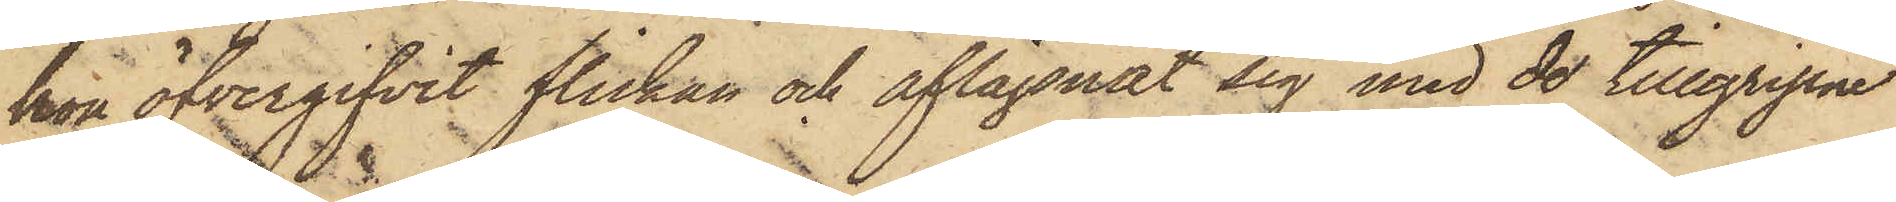hon öfvergifvit flickan och aflägsnat sig med de tillgripne
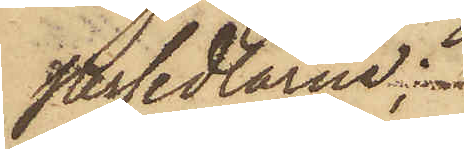persedlarne;
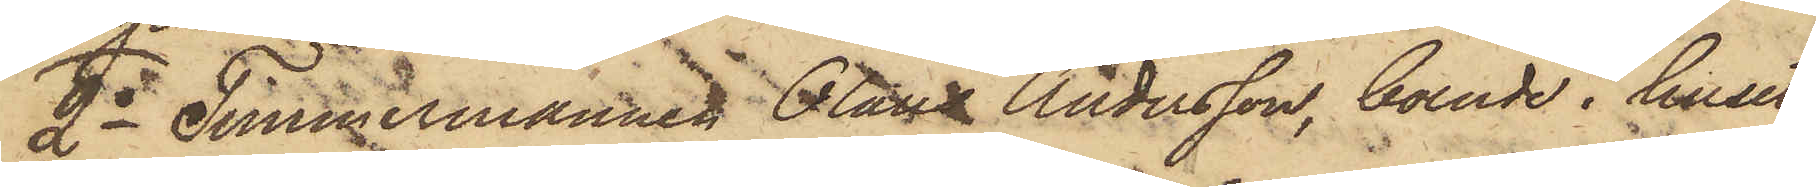2o Timmermannen Olaus Andersson, boende i huset
